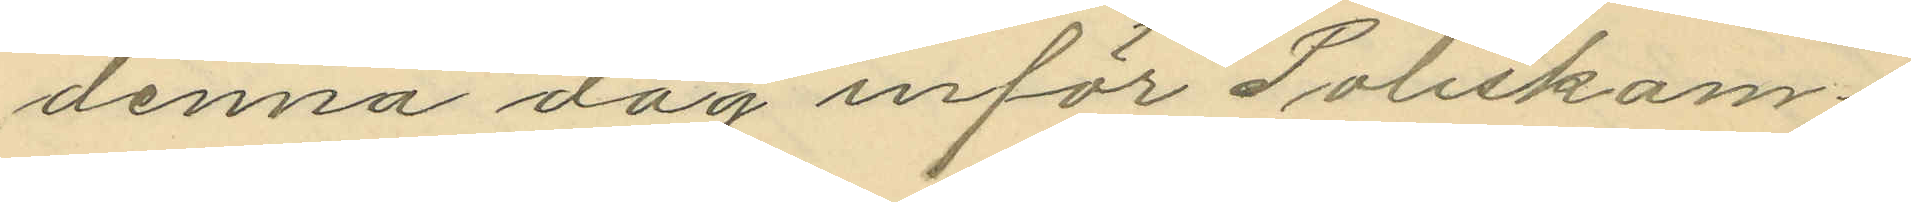denna dag inför Poliskam¬
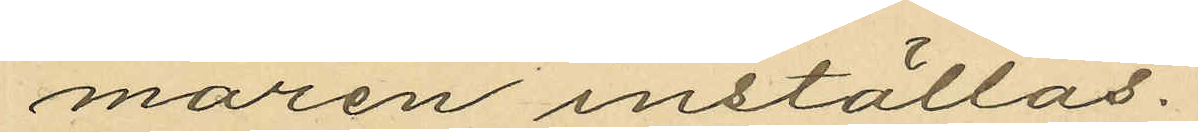maren inställas.
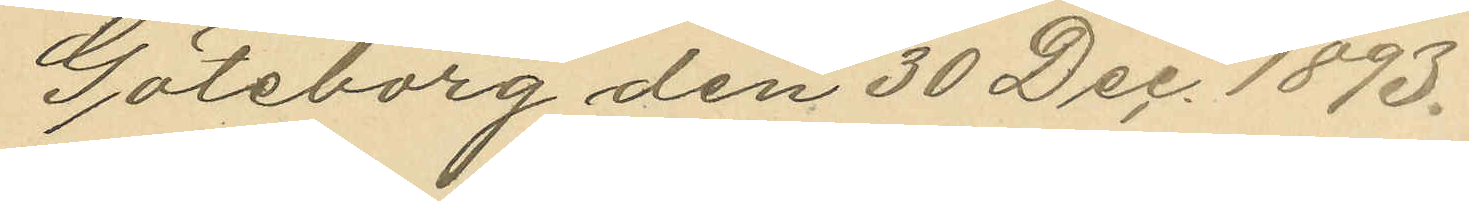Göteborg den 30 Dec. 1893.
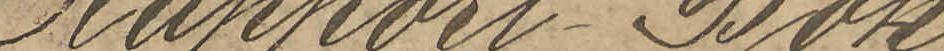Rapport-Bok
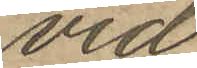vid
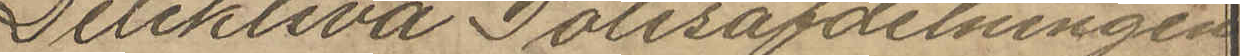Detektiva Polisafdelningen
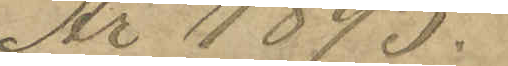År 1895.
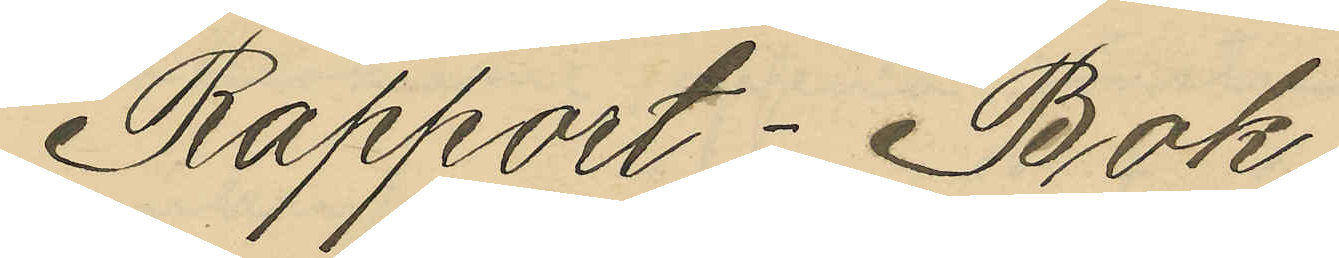Rapport-Bok
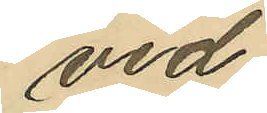vid
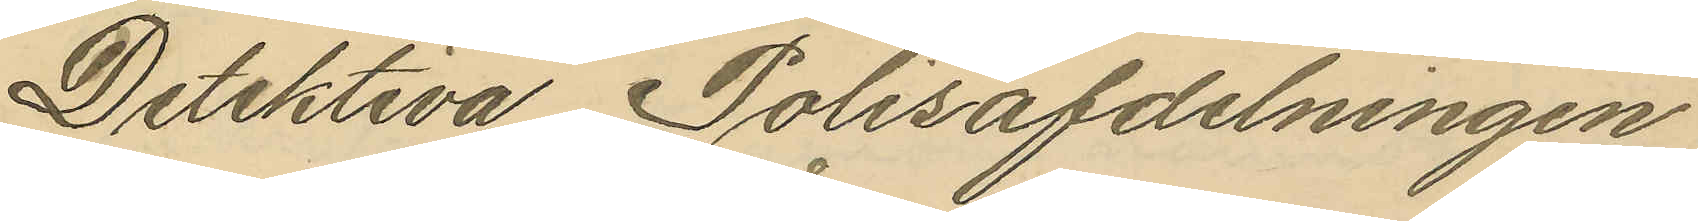Detektiva Polisafdelningen
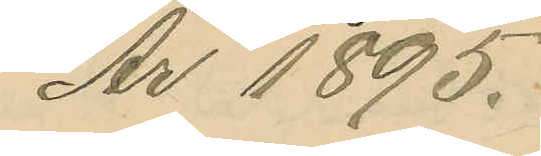År 1895.
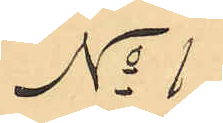No 1
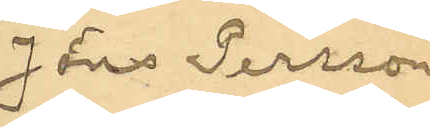Jöns Persson
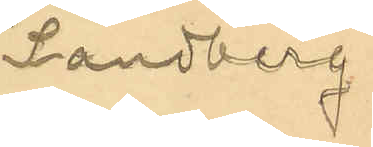Sandberg.
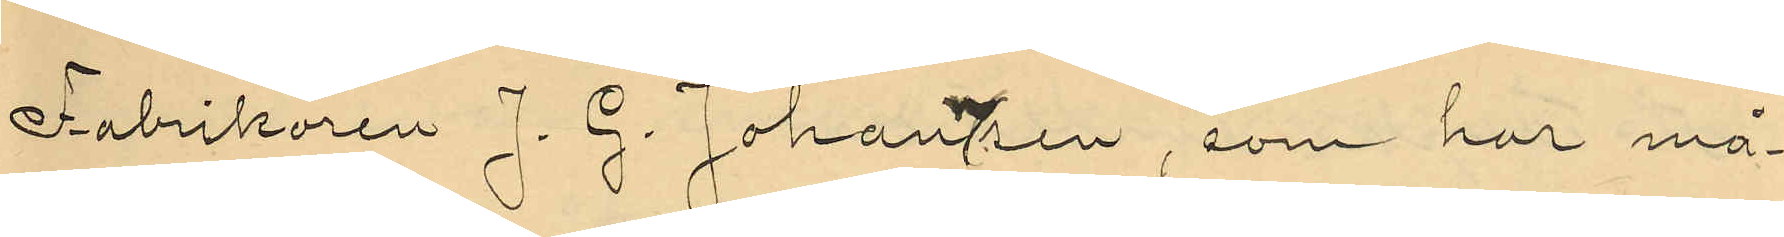Fabrikören J. G. Johannsen, som har må¬
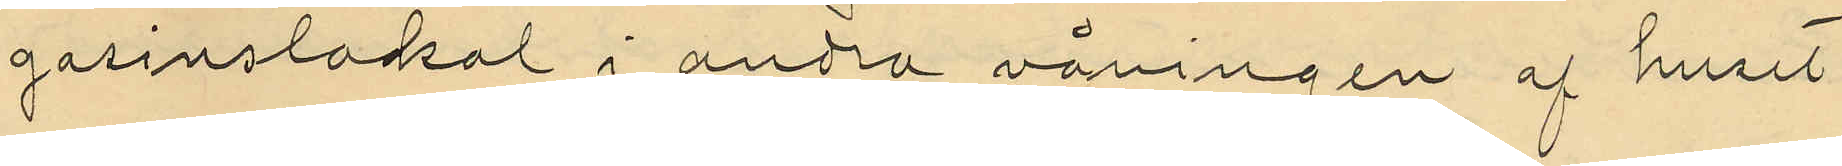gasinslokal i andra våningen af huset
